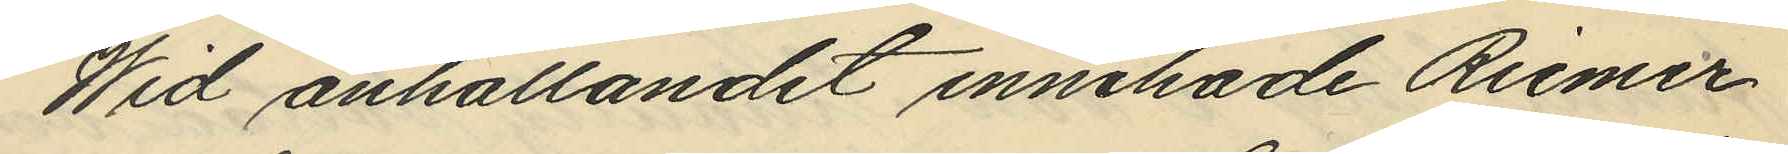Wid anhållandet innehade Riemer
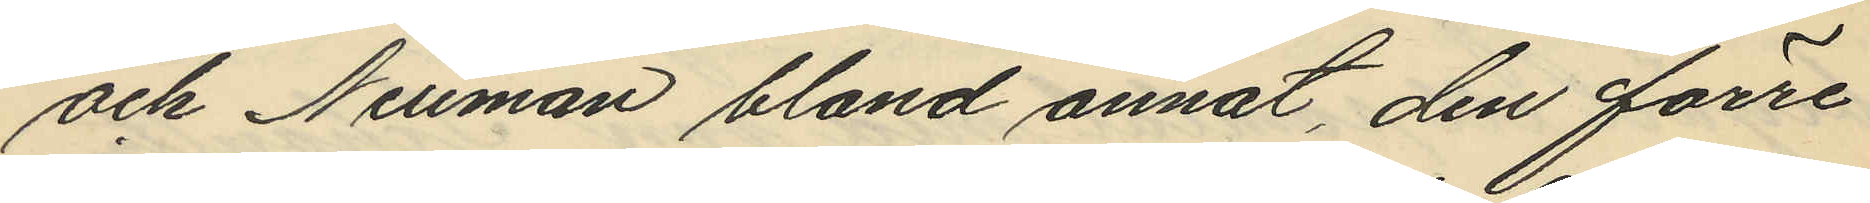och Neuman bland annat, den förre
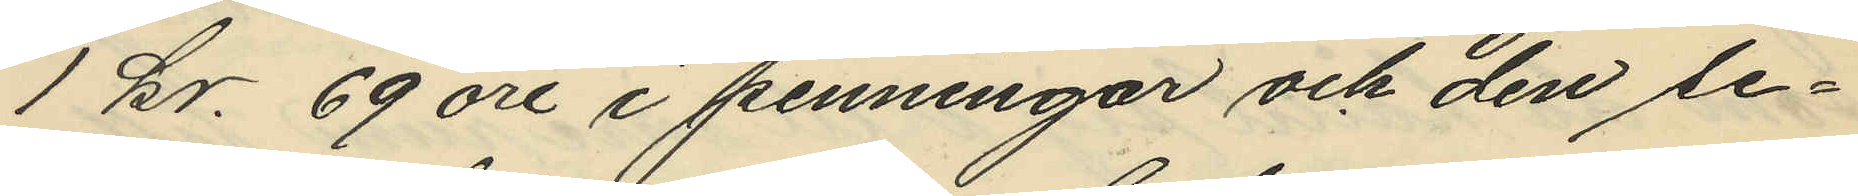1 kr. 69 öre i penningar och den se¬
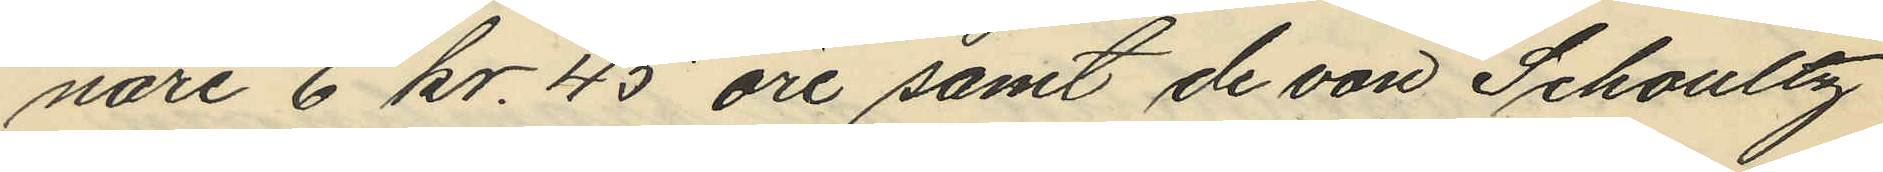nari 6 kr. 45 öre samt de von Schoultz
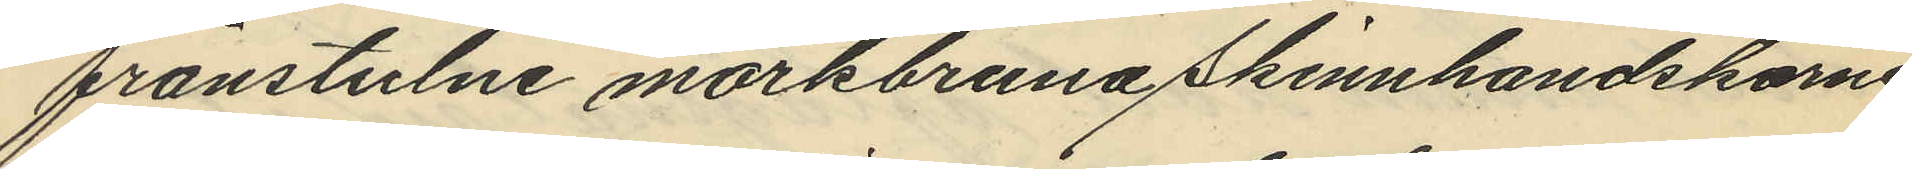frånstulne mörkbruna skinnhandskarne.
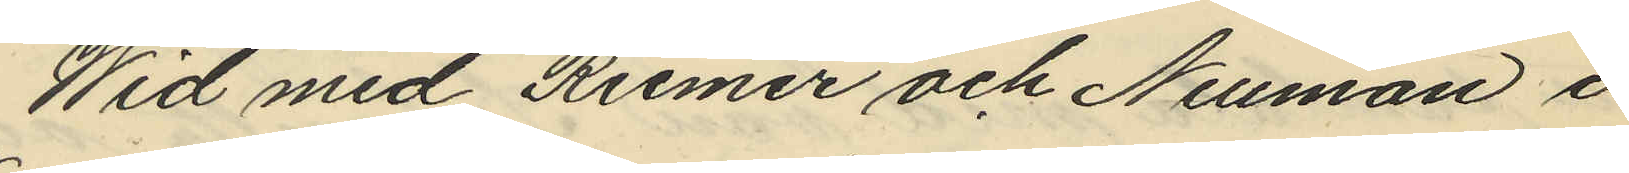Wid med Riemer och Neuman i
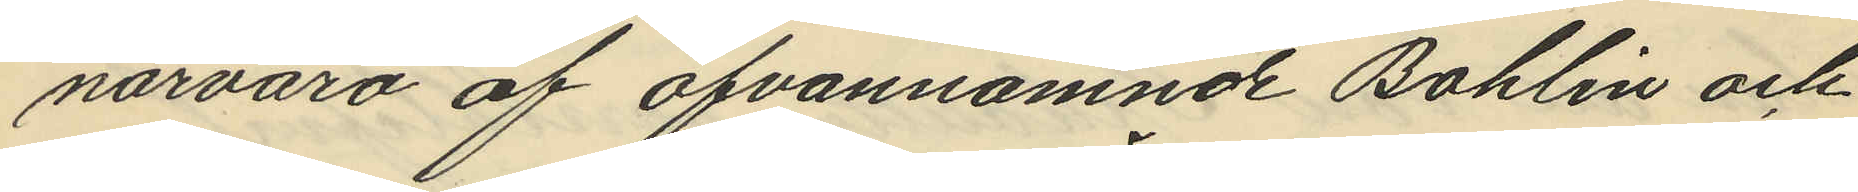närvaro af ofvannämnde Bohlin och
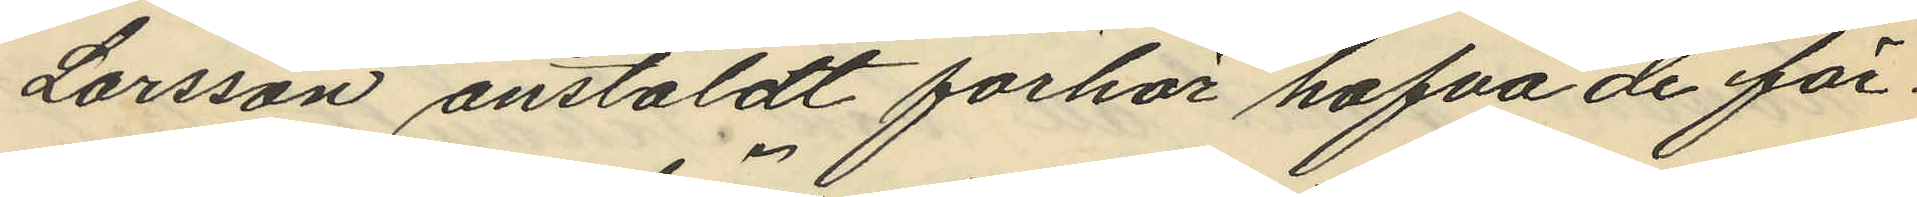Larsson anstäldt förhör hafva de för¬
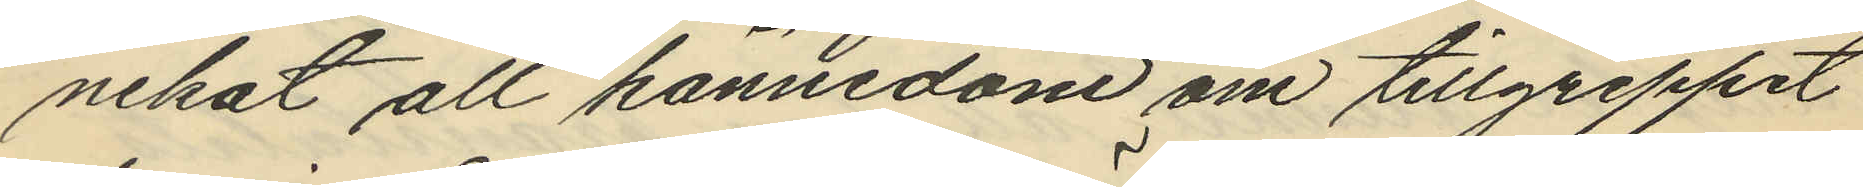nekat all kännedom om tillgreppet
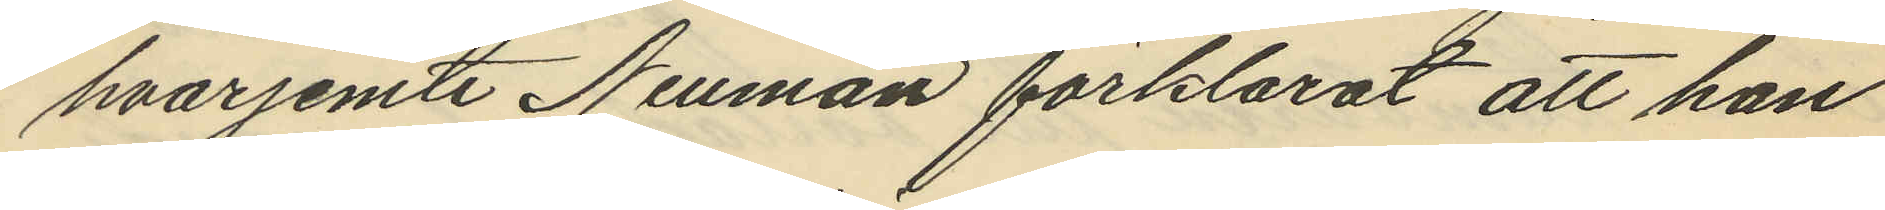hvarjemte Neuman förklarat att han
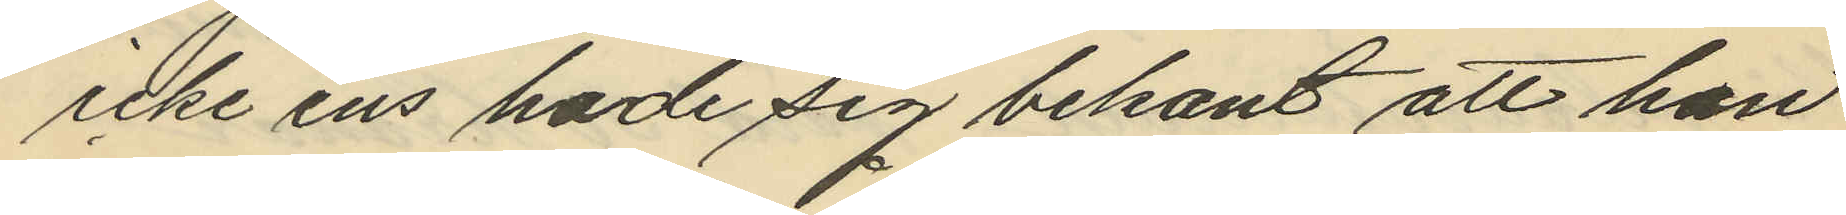icke ens hade sig bekant att han
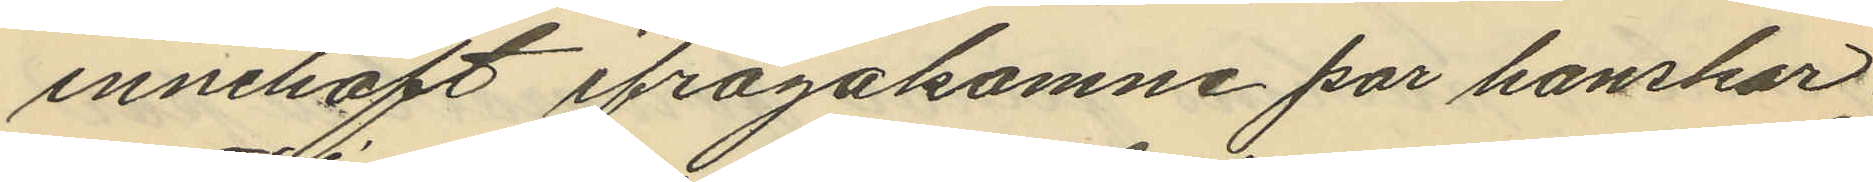innehaft ifrågakomne par hanskar.
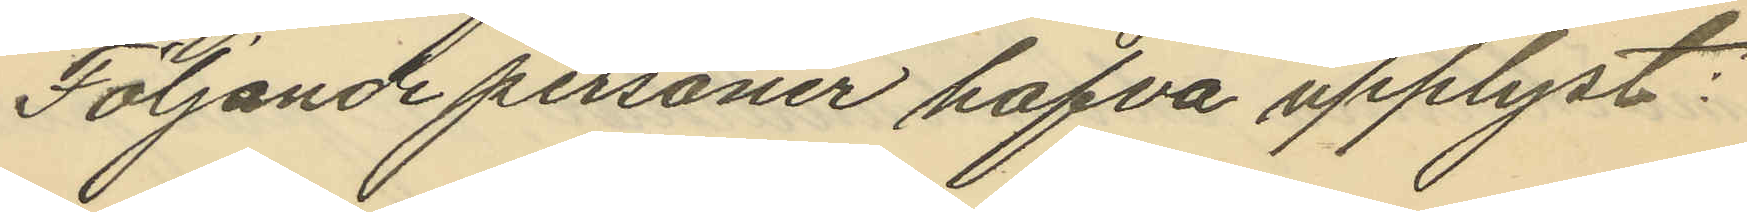Följande personer hafva upplyst:
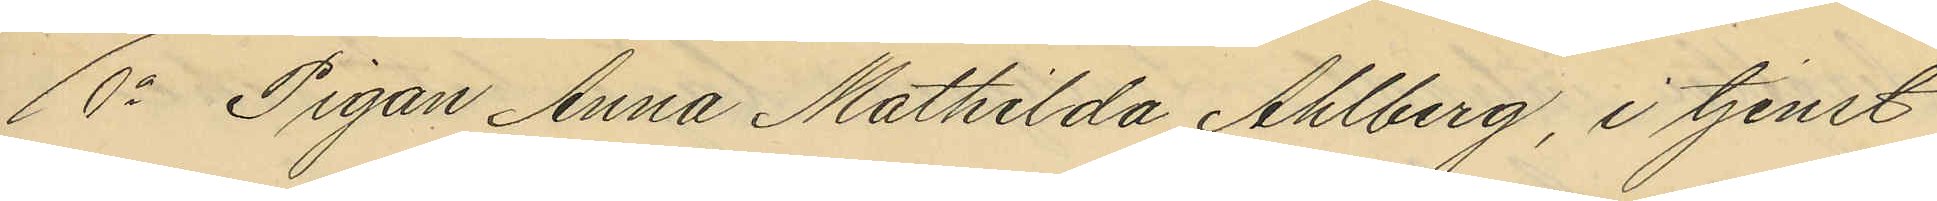1o Pigan Anna Mathilda Ahlberg, i tjenst
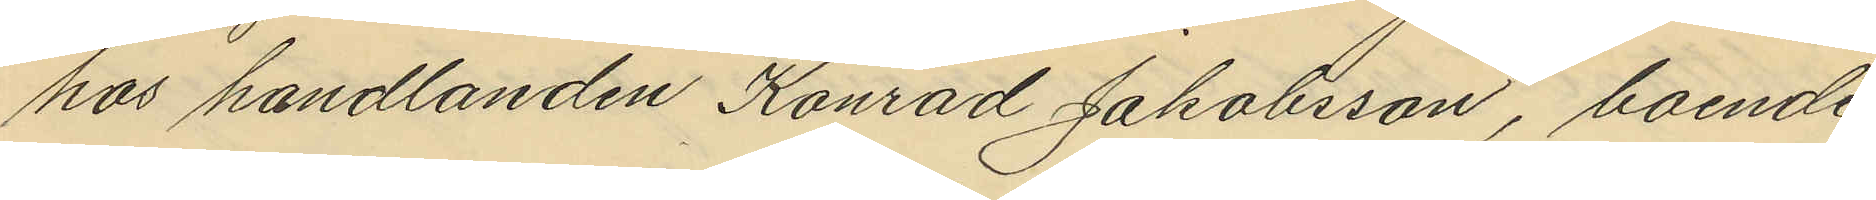hos handlanden Konrad Jakobsson, boende
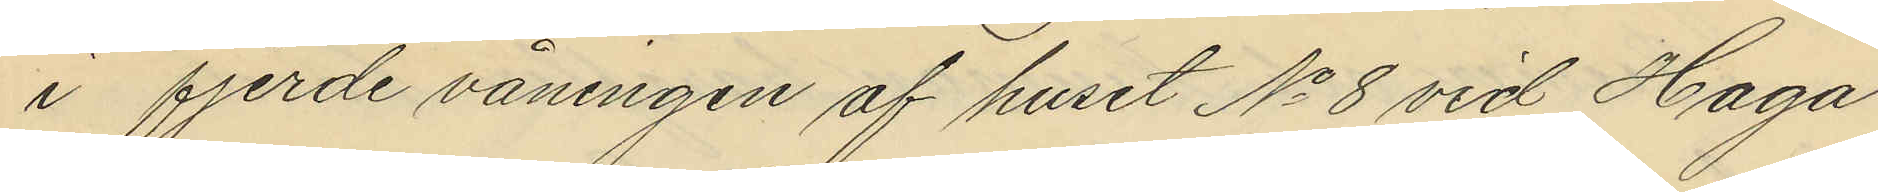i fjerde våningen af huset No 8 vid Haga
